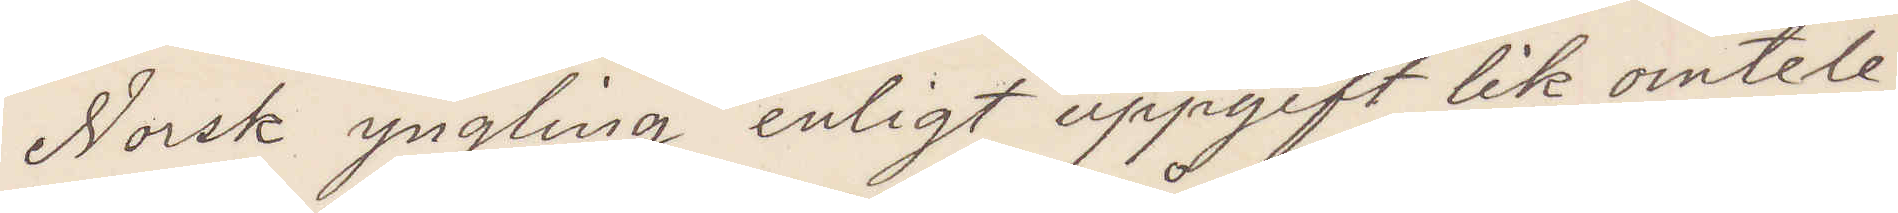Norsk yngling enligt uppgift lik omtele¬
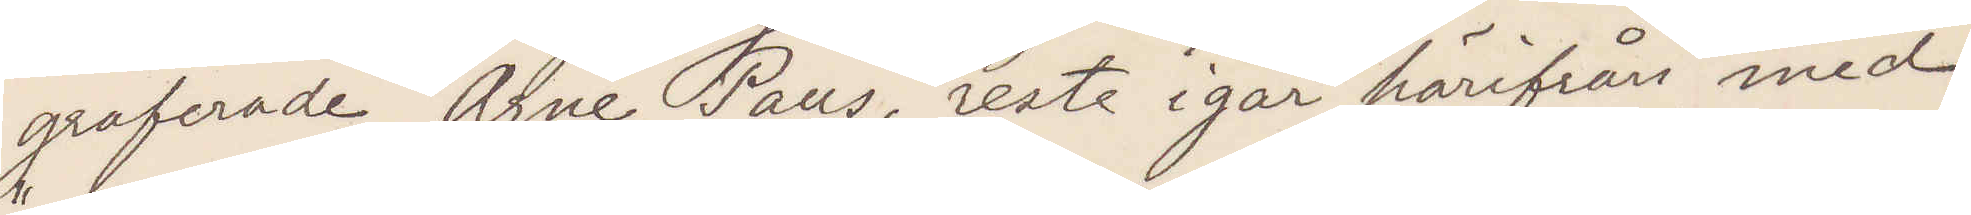graferade Arne Paus, reste igår härifrån med
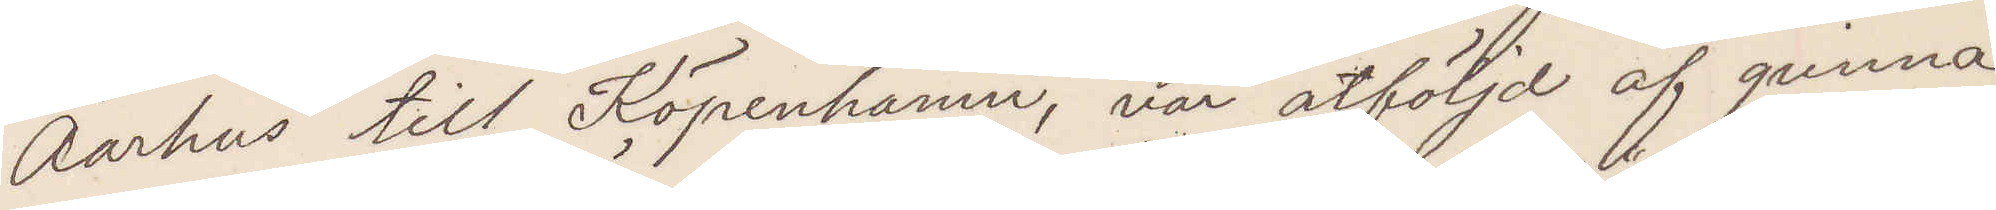"Aarhus" till Köpenhamn, var åtföljd af qvinna,
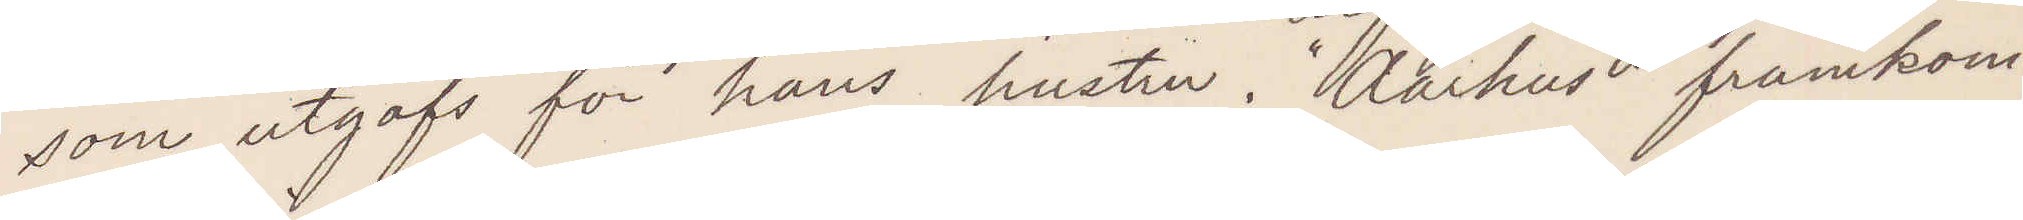som utgaf sig för hans hustru. Aarhus framkom¬
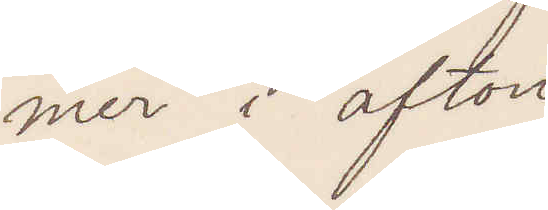mer i afton
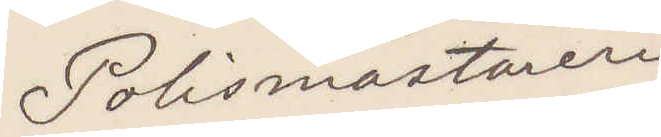Polismästaren
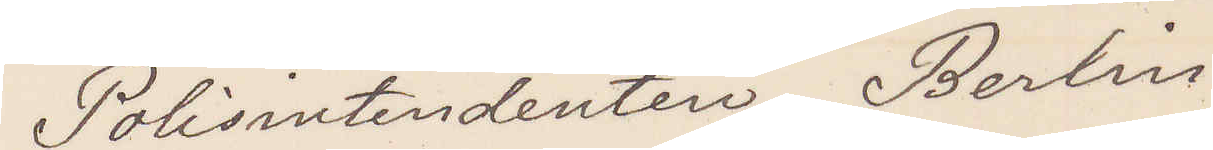Polisintendenten Berlin
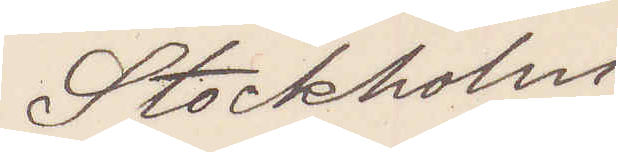Stockholm
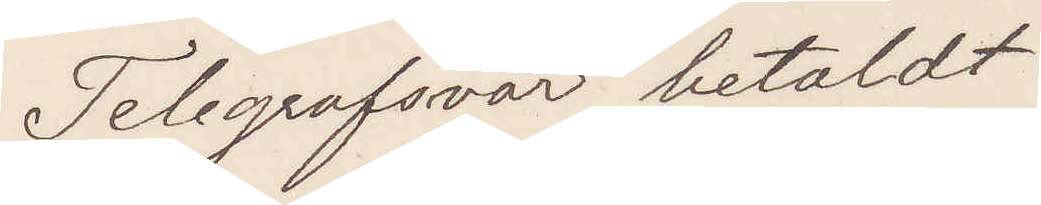Telegrafsvar betaldt
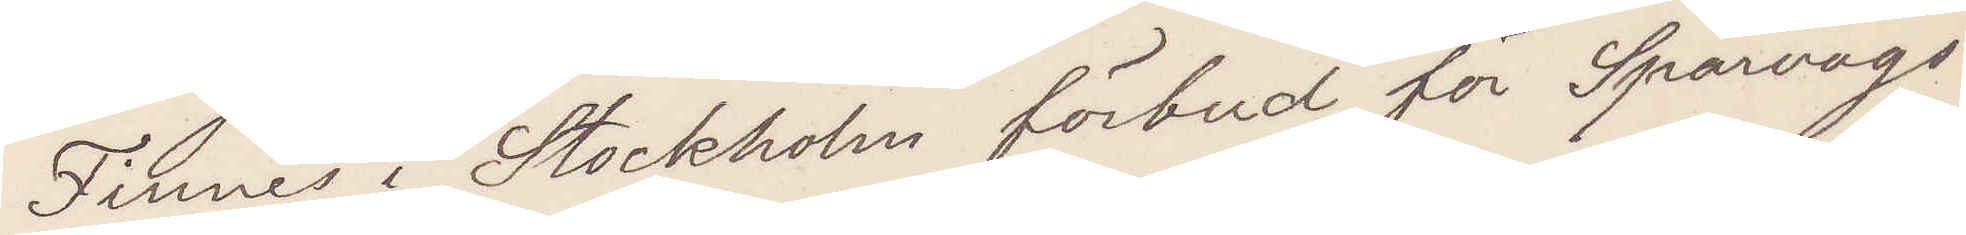Finnes i Stockholm förbud för Spårvägs¬
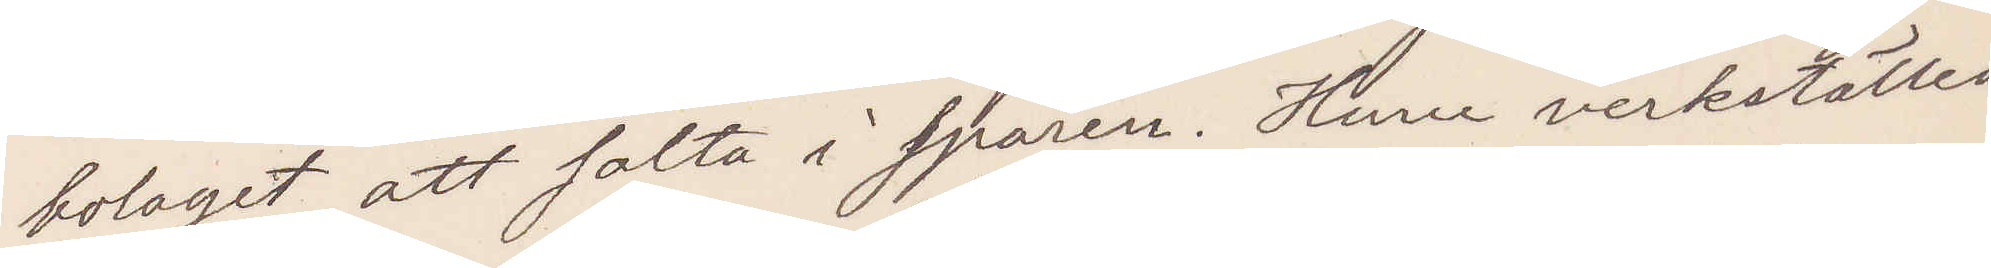bolaget att salta i spåren. Huru verkstlles
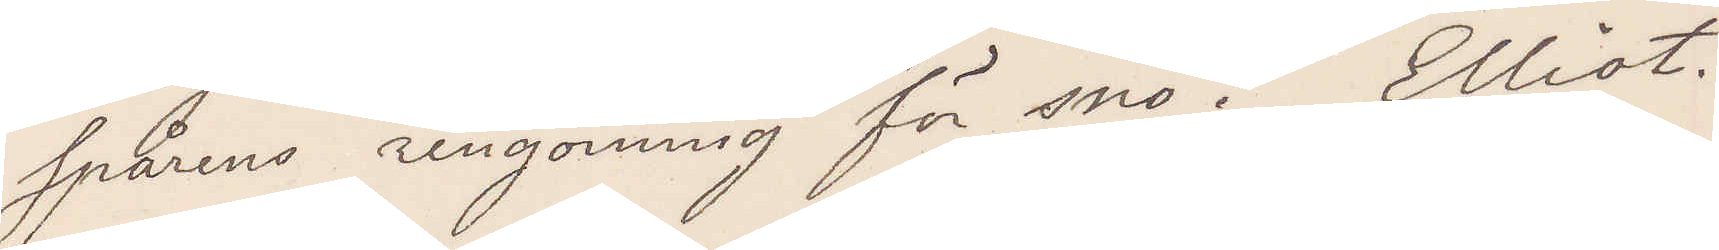spårens rengöring för snö? Elliot.
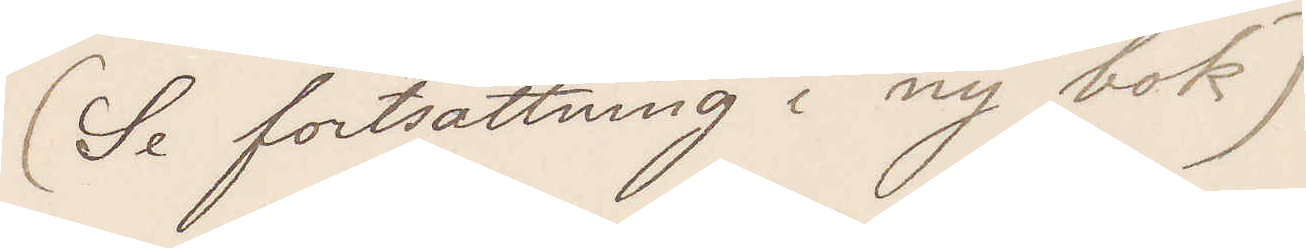(Se fortsättning i ny bok)
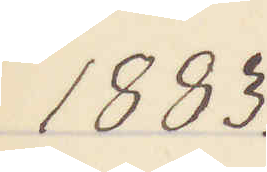1883.
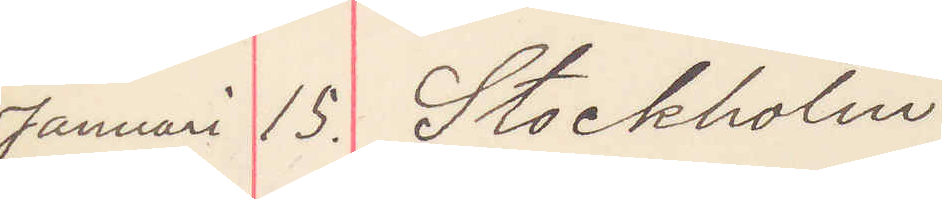Januari 15. Stockholm
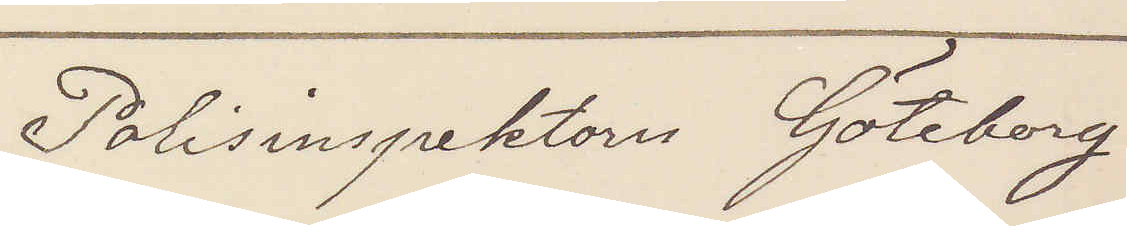Polisinspektorn Göteborg
